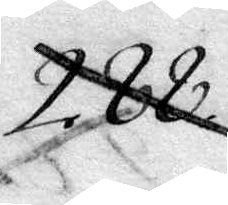288.
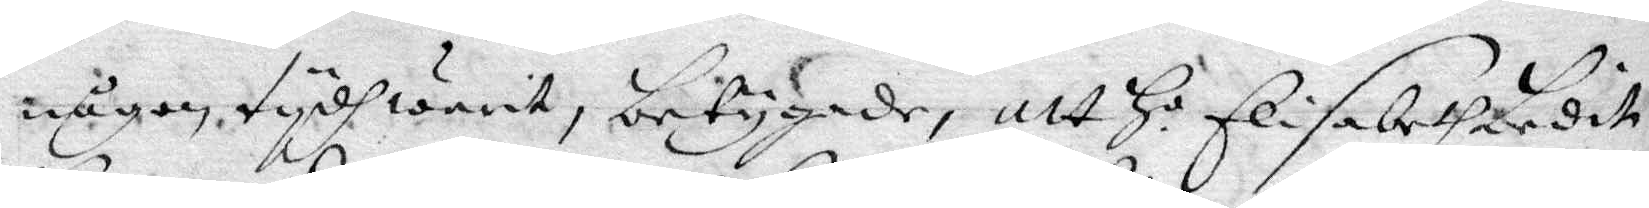någon tydh warit, betygade, att Ho Elisabeth bedit
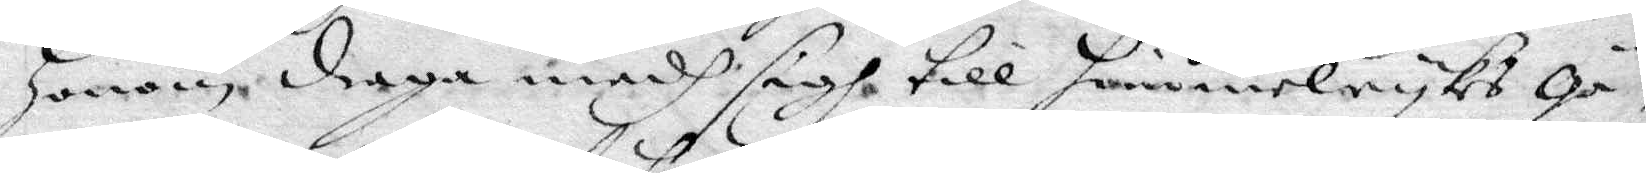honom draga medh sigh till himmelrykes gä¬ 
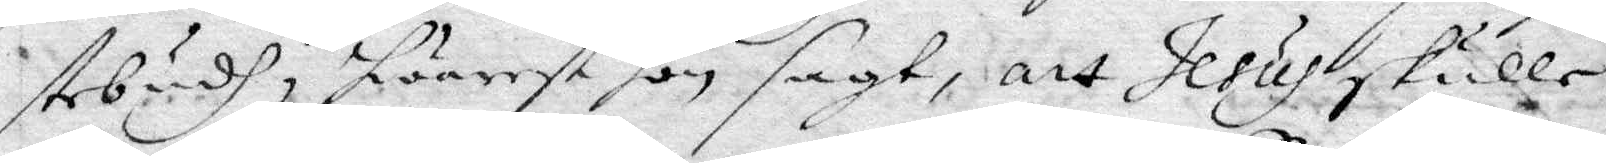stebudh, hwarest hon sagt, att Jesus skulle
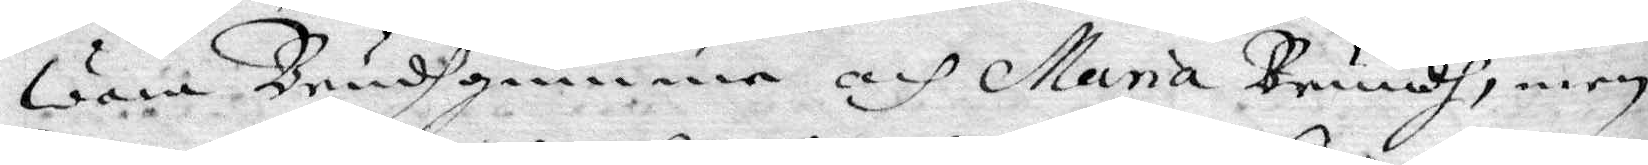Wara Brudhgumme och Maria Bruudh, men
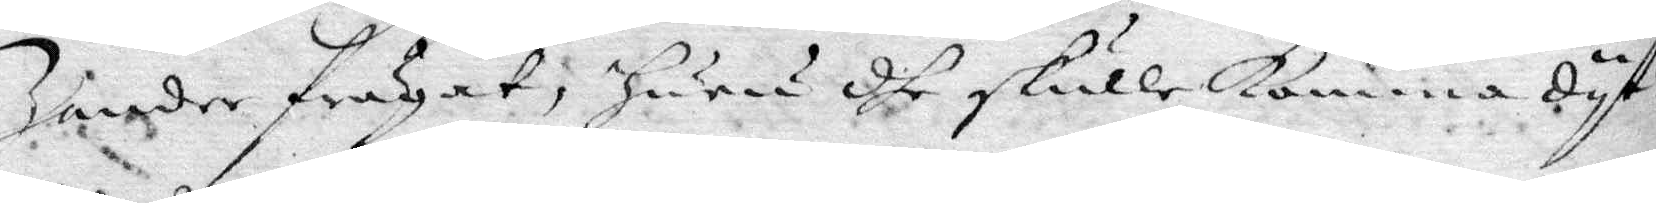Zander frågat, huru dhe skulle komma dyt?
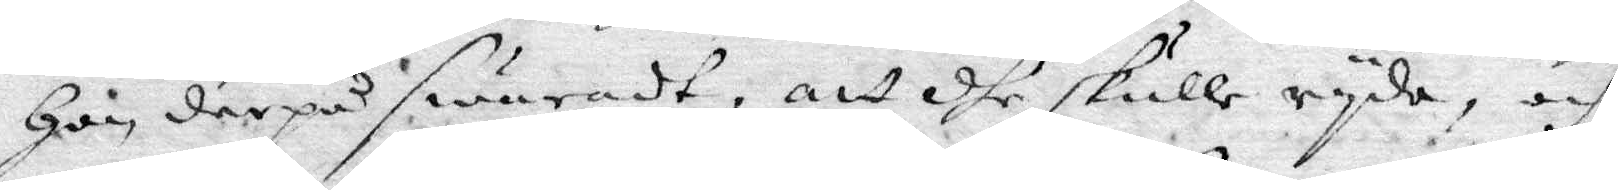Hon derpå swaradt, att dhe skulle ryda, och
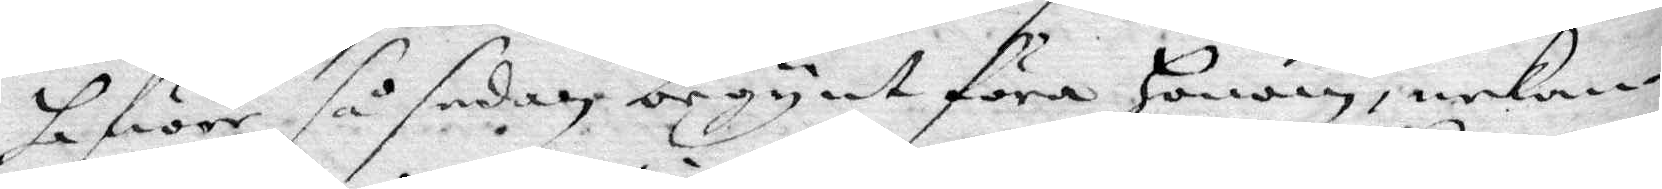hafwer så sedan begynt föra honom, nekan¬
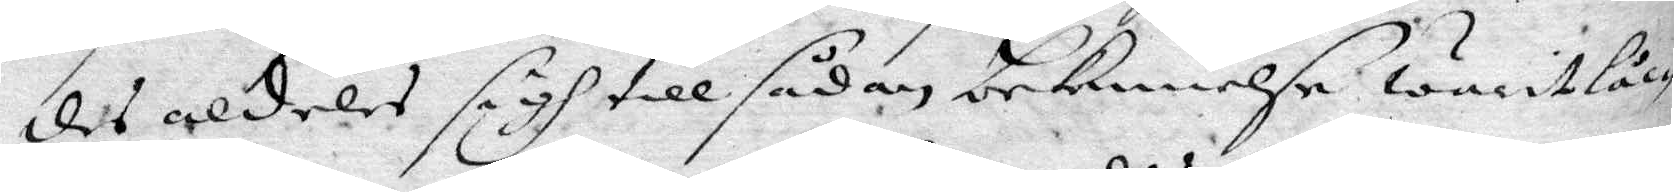des aldeles sigh till sådan bekennelse warit låc¬
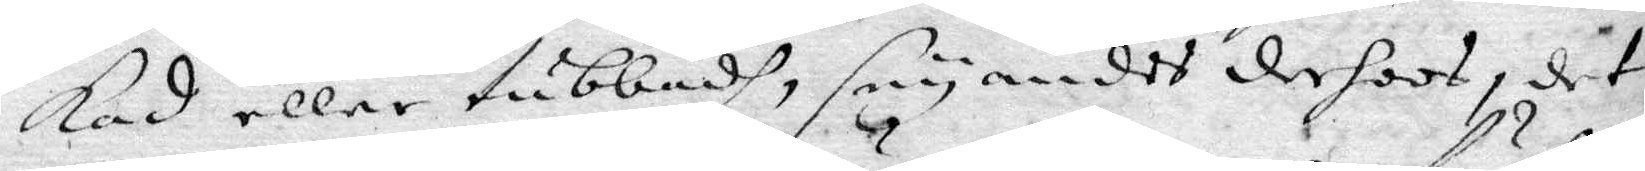kad eller tubbadh, seuandes derhoos, det
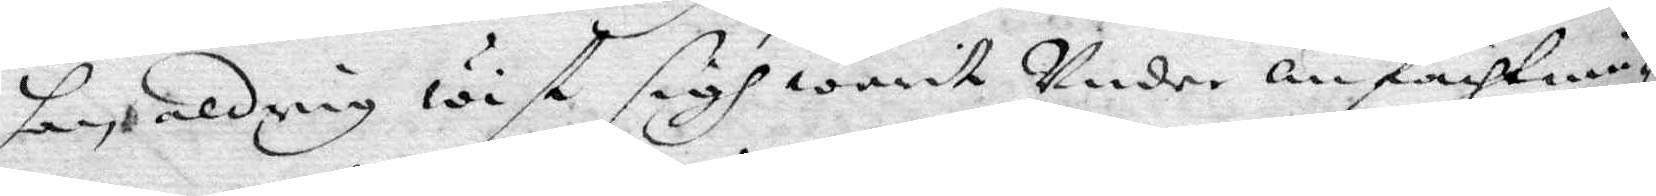han aldrig wist sigh warit Under anfächtnin-
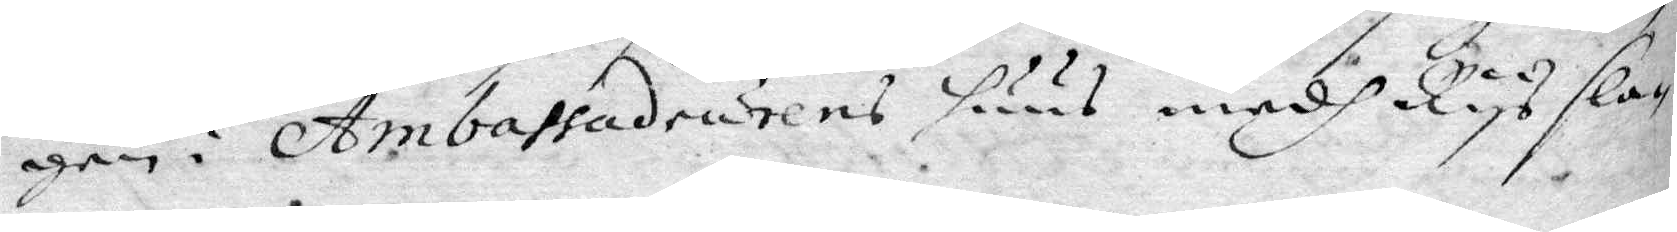gen i Ambassadeurens huus medh Rys sla¬
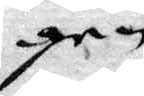gen.
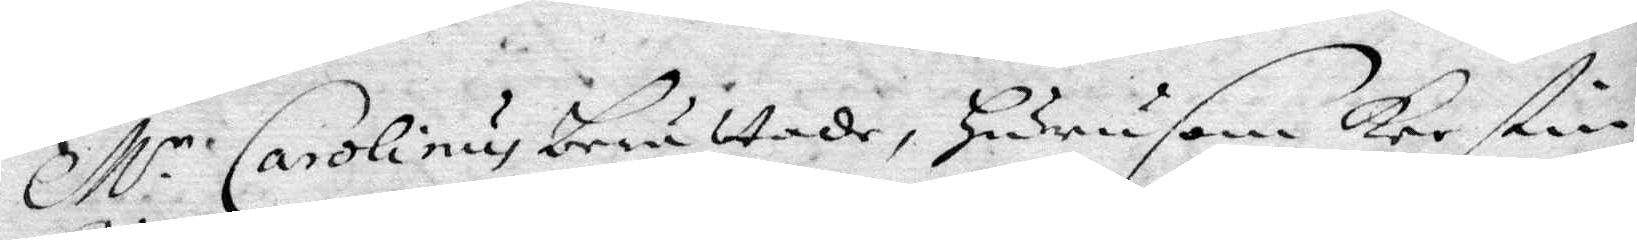Mr Carolinus berättade, hurusom Kerstin
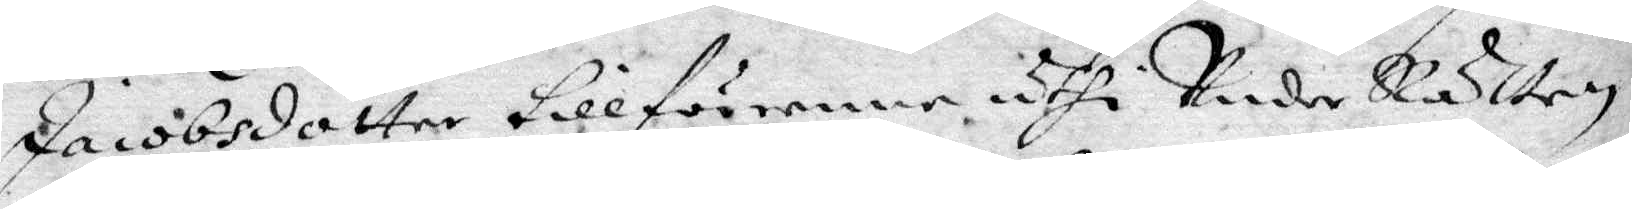jacobsdotter tillförenne uthi Under Rätten
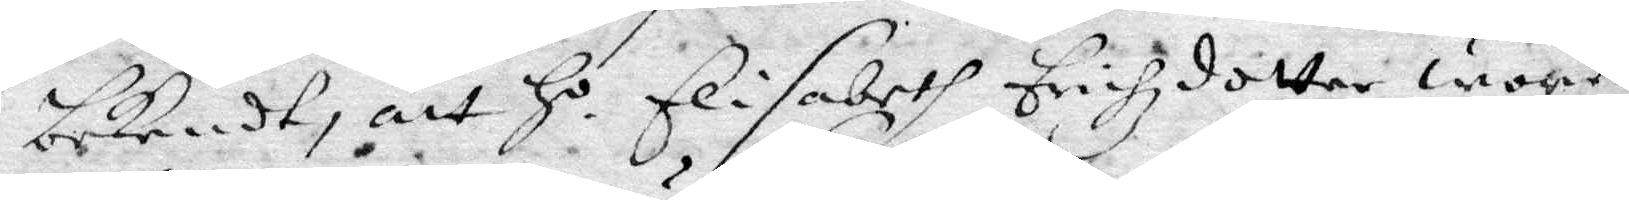bekendt, att Ho Elisabeth Erichsdotter wore
